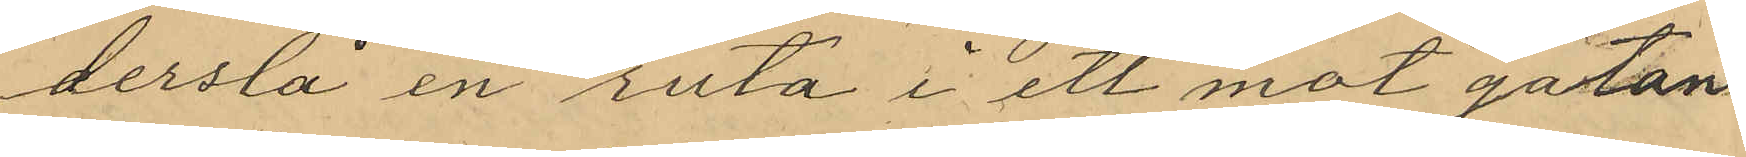derslå en ruta i ett mot gatan
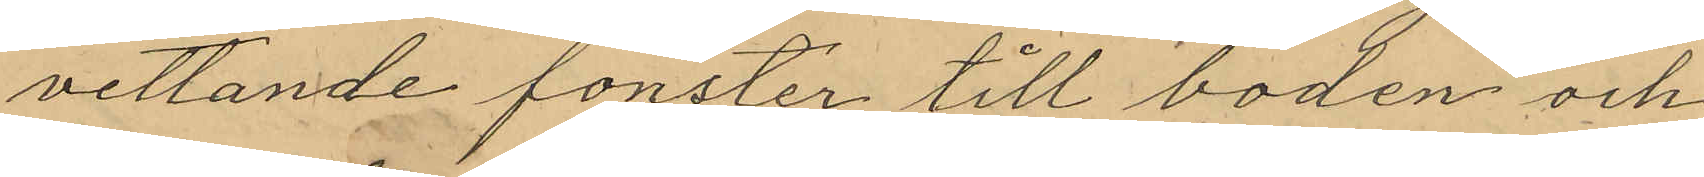vettande fönster till boden och
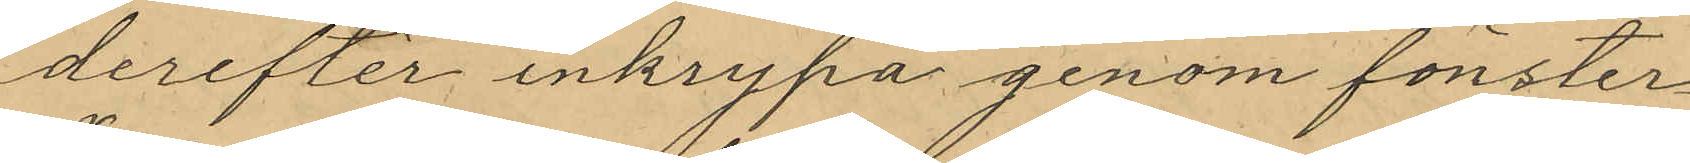derefter inkrypa genom fönster¬
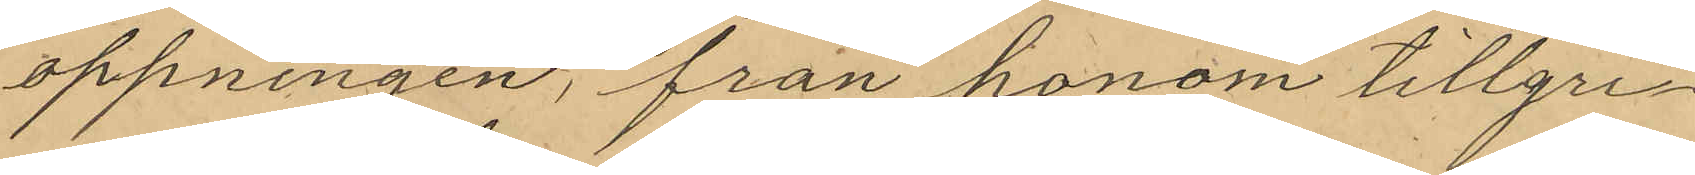öppningen, från honom tillgri¬
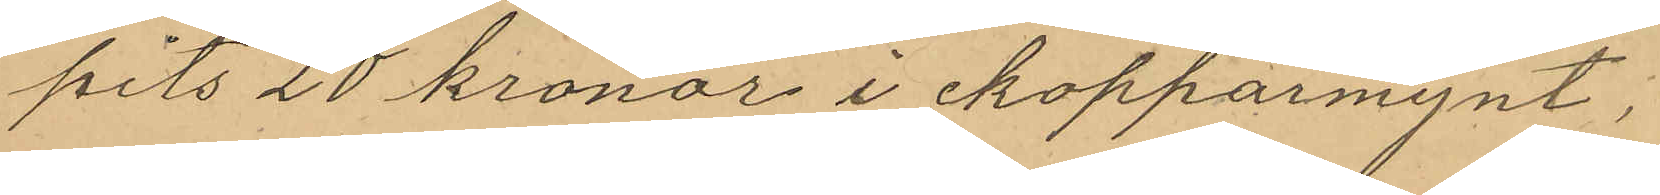pits 20 kronor i kopparmynt,
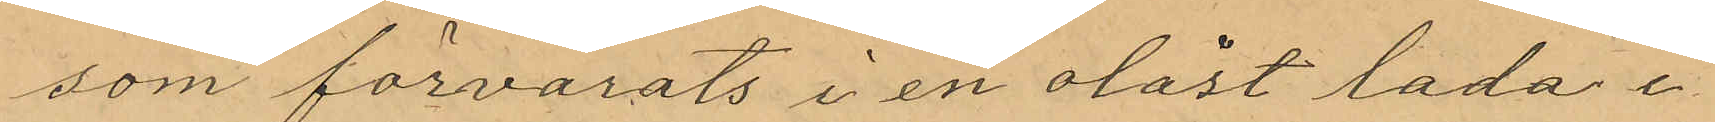som förvarats i en olåst låda i
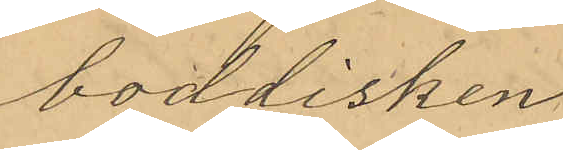boddisken.
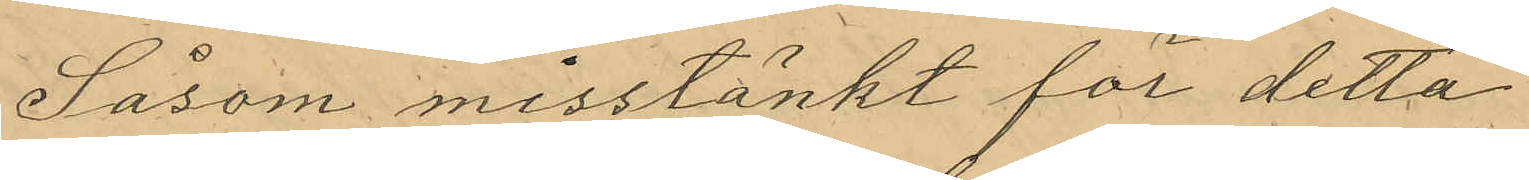Såsom misstänkt för detta
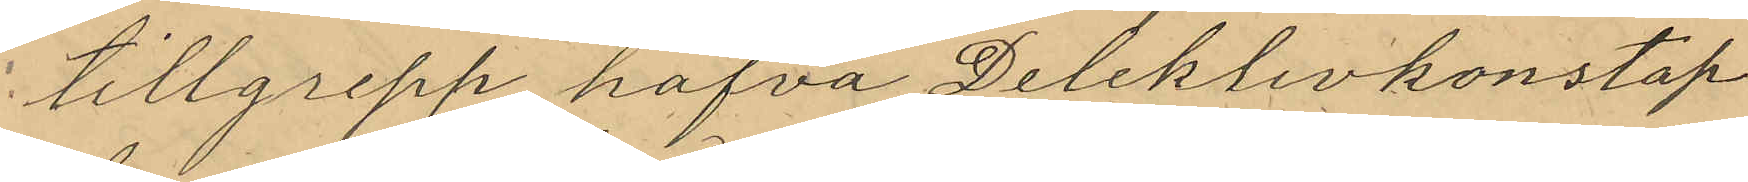tillgrepp hafva Deleklivkonstap¬
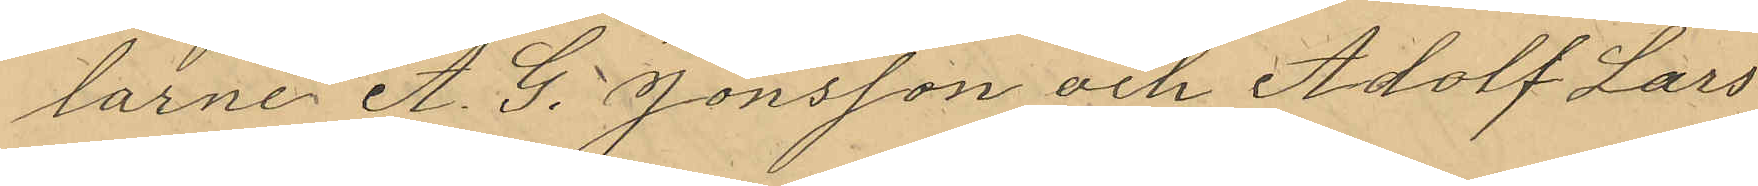larne A. G. Jönsson och Adolf Lars¬
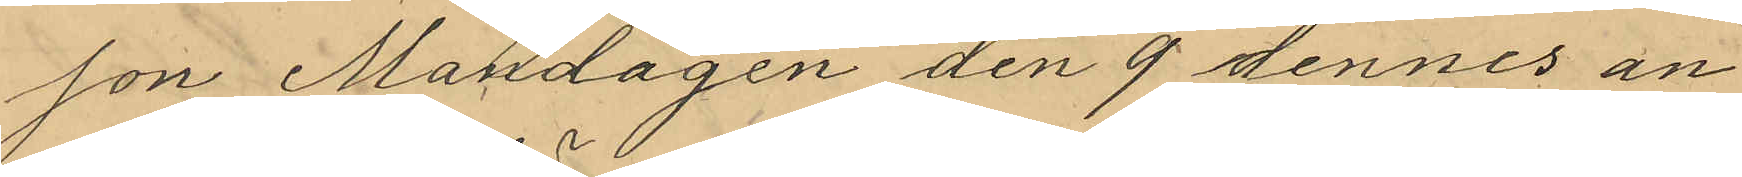son Måndagen den 9 dennes an¬
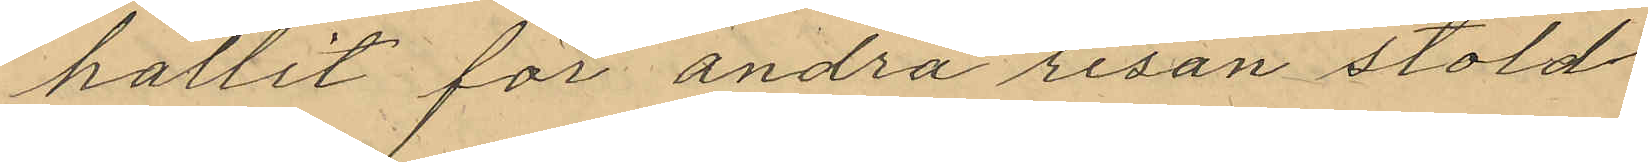hållit för andra resan stöld
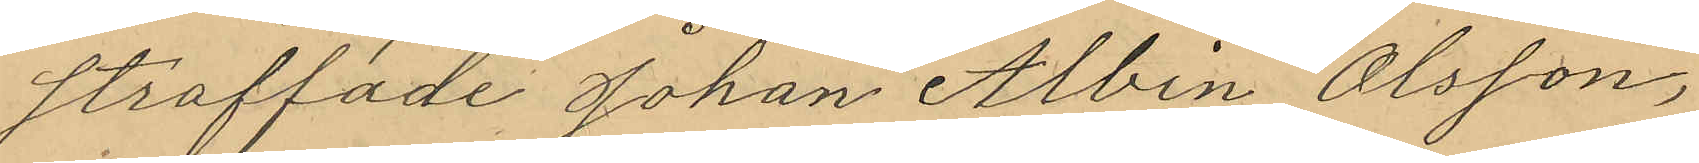straffade Johan Albin Olsson,
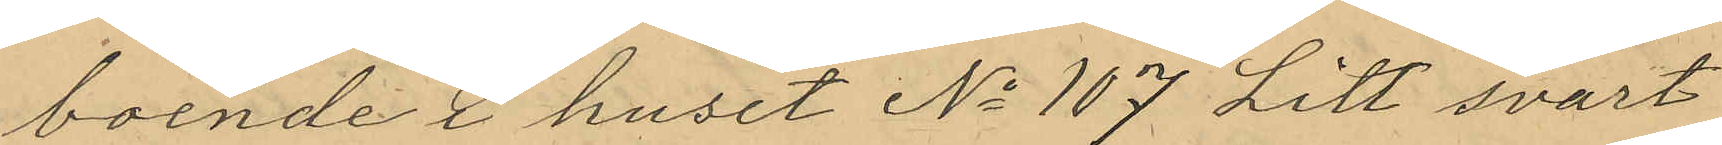boende i huset No 107 Litt svart
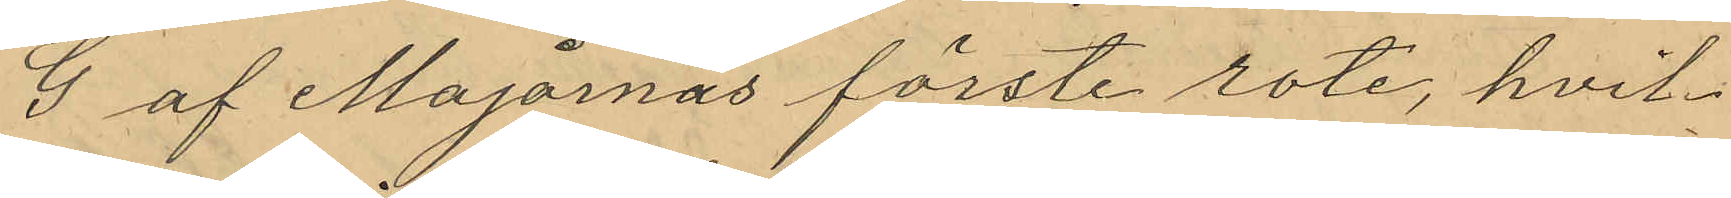G af Majornas förste rote, hvil¬
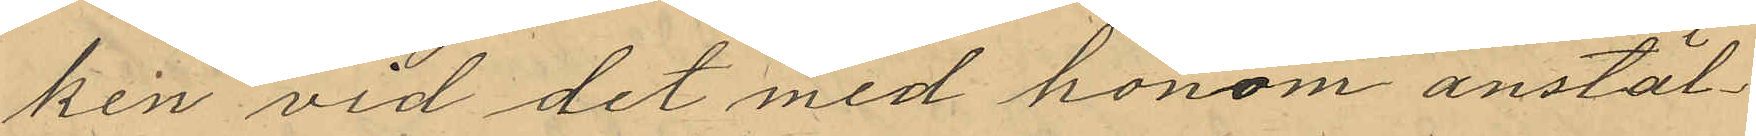ken vid det med honom anstäl¬
